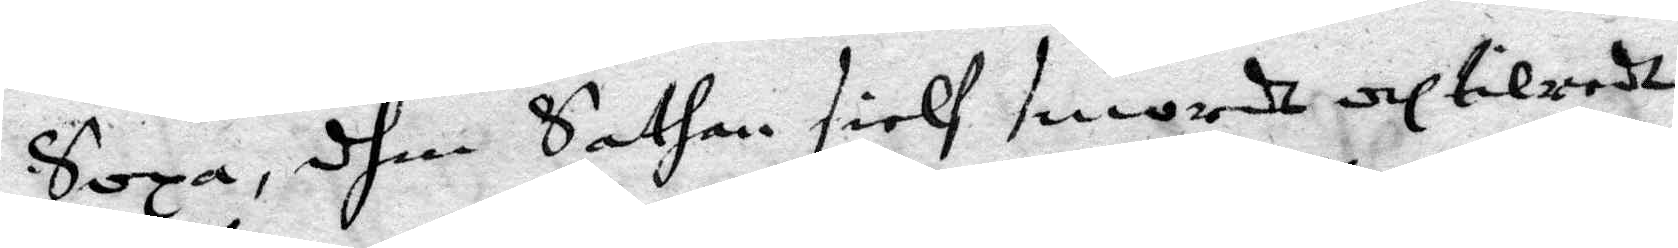Sopa, dhen Sathan sielf smordhe och tilredz
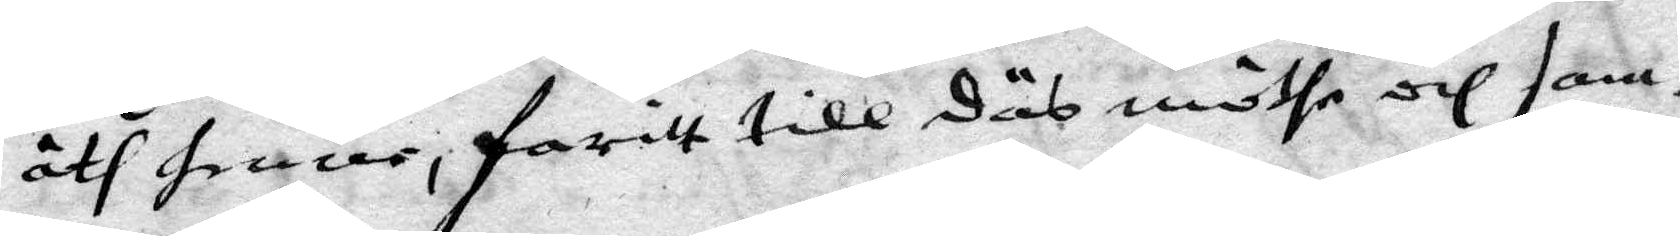åth henne, farritt till däs möthe och sam¬
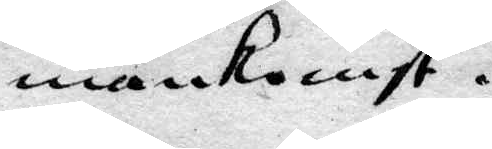mankomst.
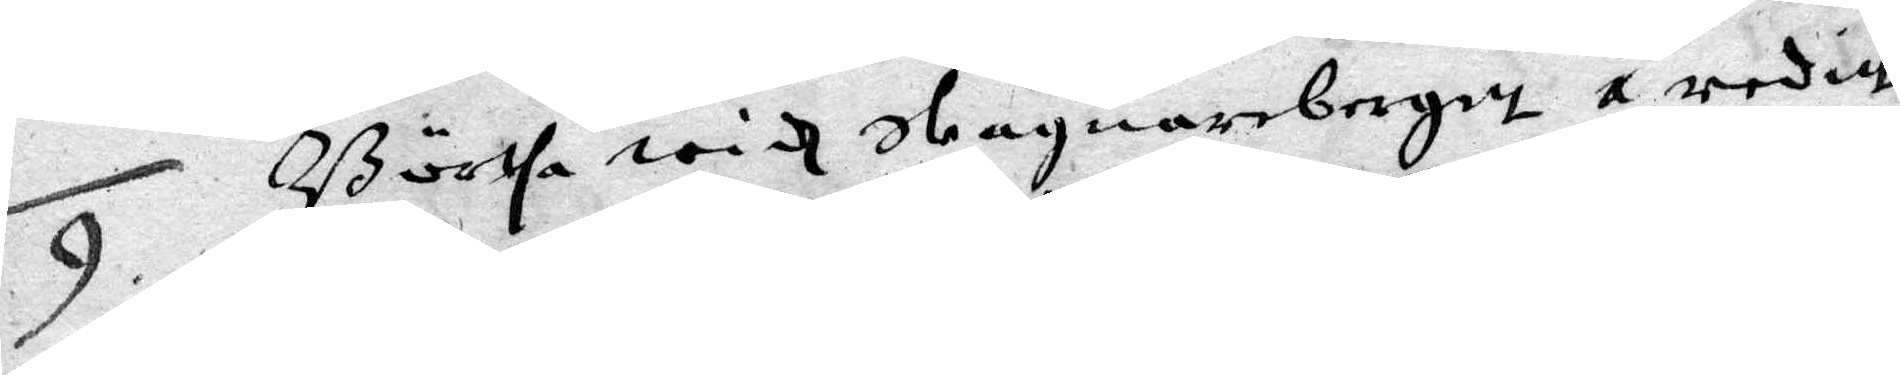9. Börtha widh Skagnarbergitt 1. reditt
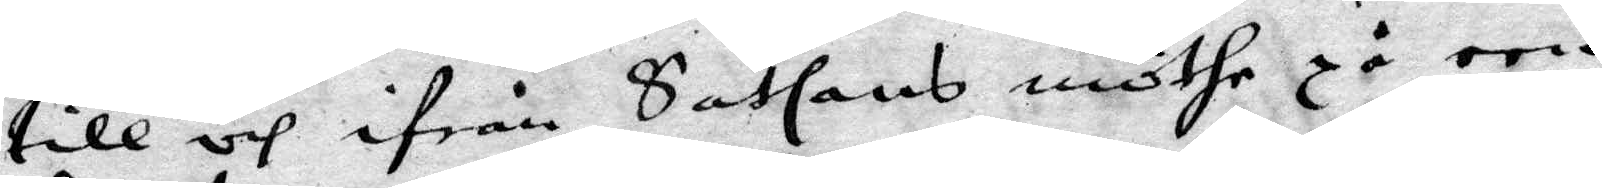till och ifrån Sathans mörhe på een
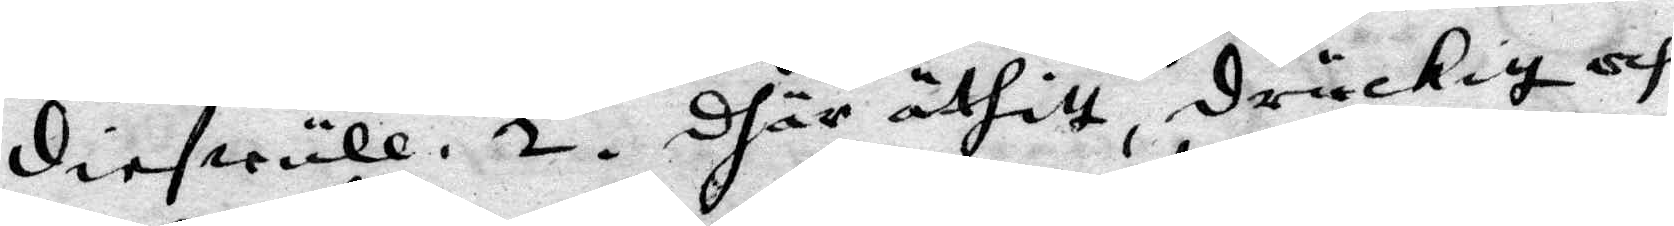diefwull. 2. Dhär äthitt, druckitt och
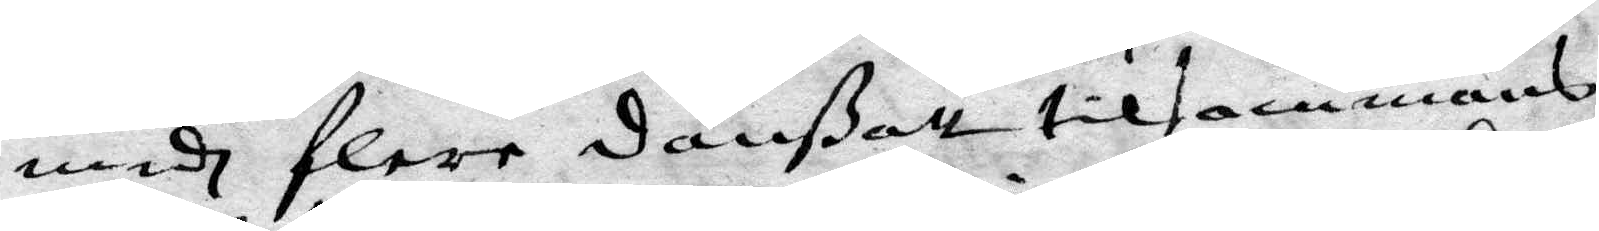medh flere Danßatt tilsammans
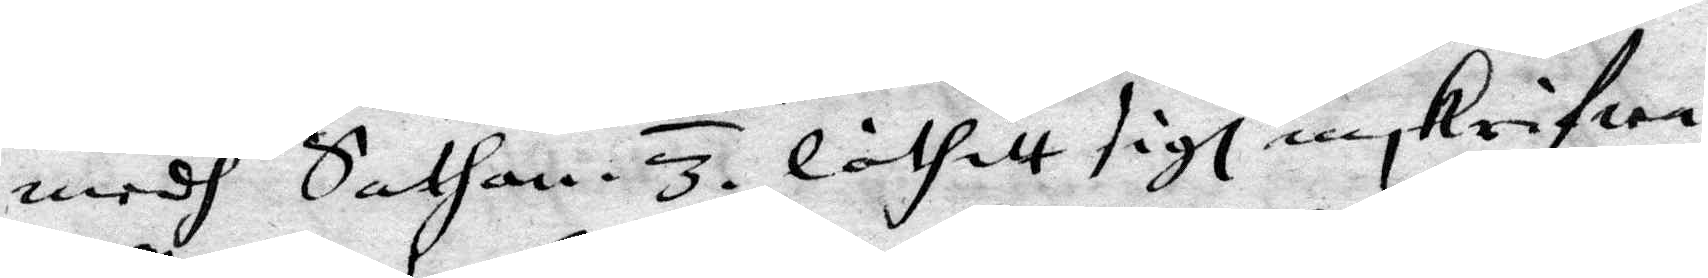medh Sathan. 3. Låtitt sigh inskrifwa
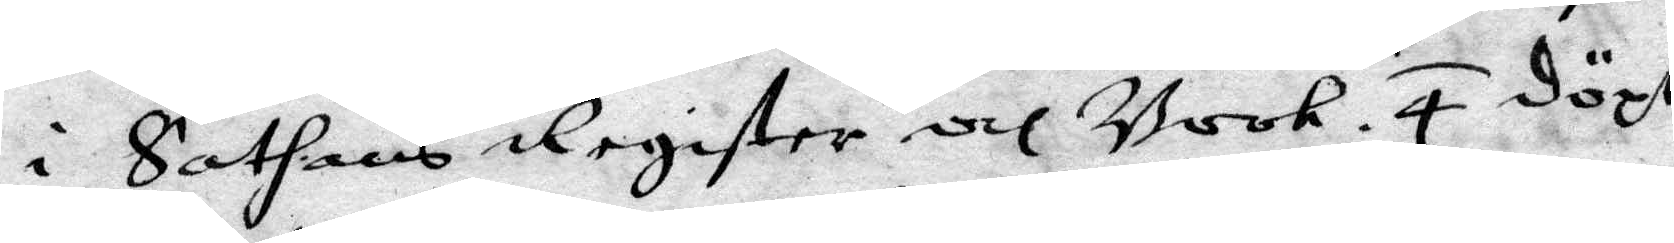i Sathans register och Book. 4. Döpt
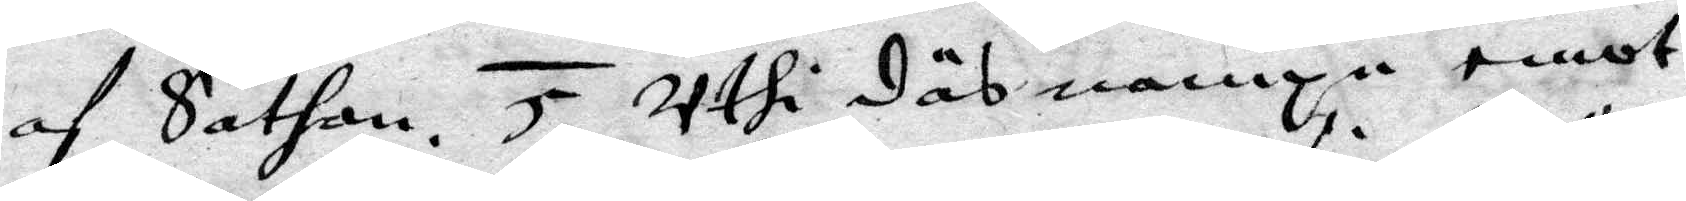af Sathan. 5. Uthi Däs nampn emot¬
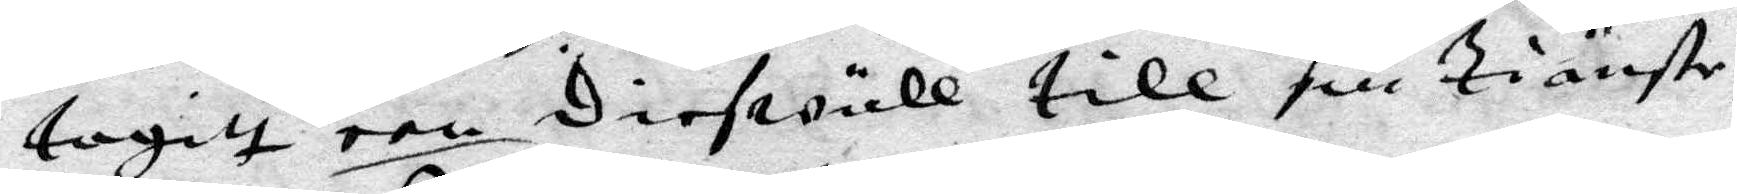tagitt een Diefwull till sin tiänste¬
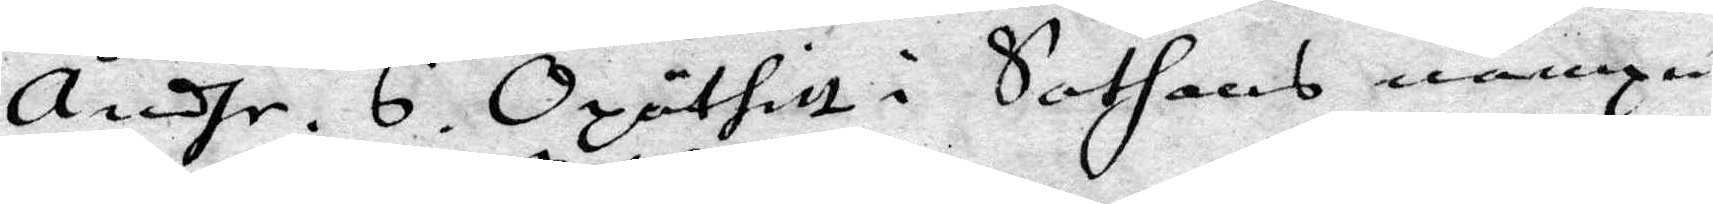andhe. 6. opäthitt i Sathans nampn
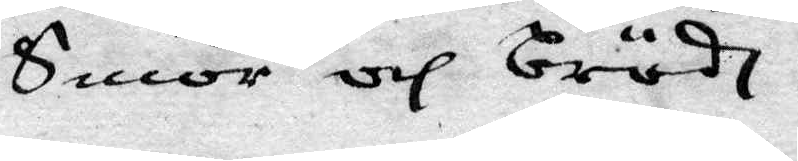Smör och Brödh.
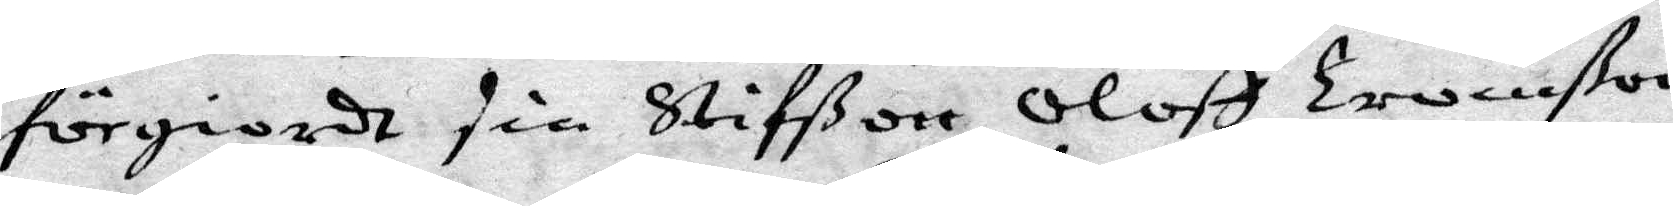förgiordt sin Stiffßon Oloff Tronßon
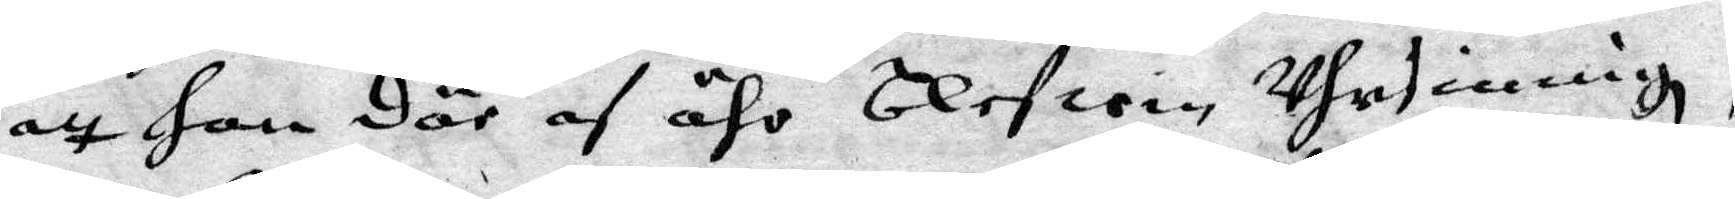att Han Där af ähr Blifwin uhrsinnigh,
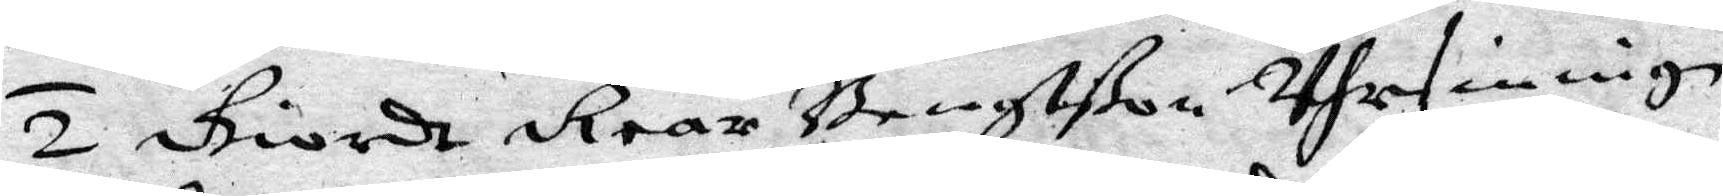2. Giordt Rear Bengtßon uhrsinnig.
